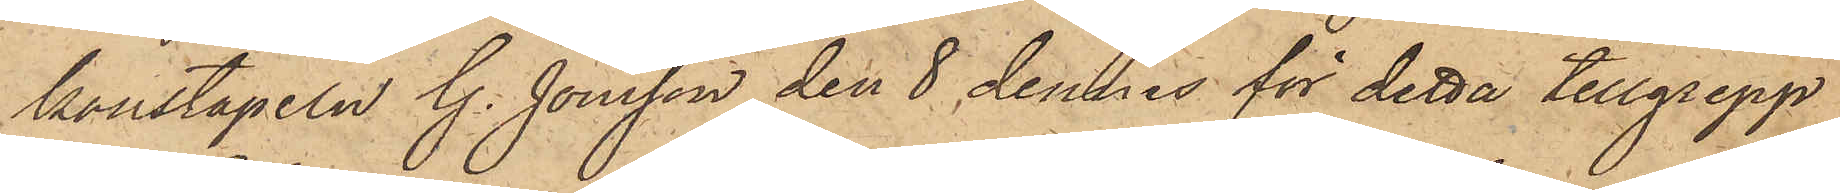konstapeln G. Jönsson den 8 dennes för detta tillgrepp
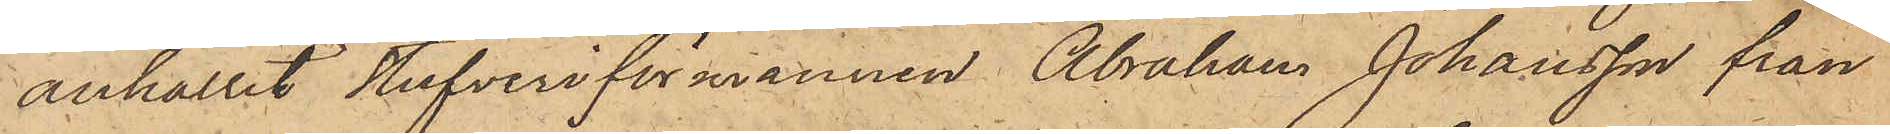anhållit stufveriförmannen Abraham Johansson från
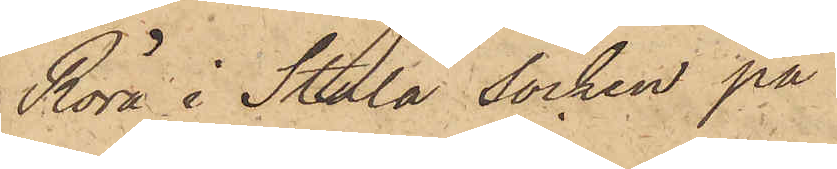Röra i Stala socken på
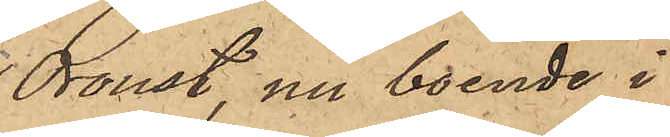Oroust, nu boende i
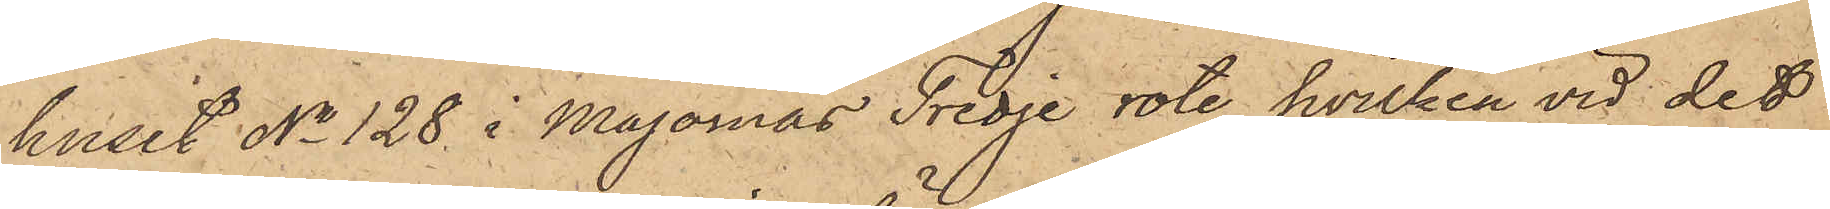huset No 128 i Majornas Tredje rote, hvilken vid det
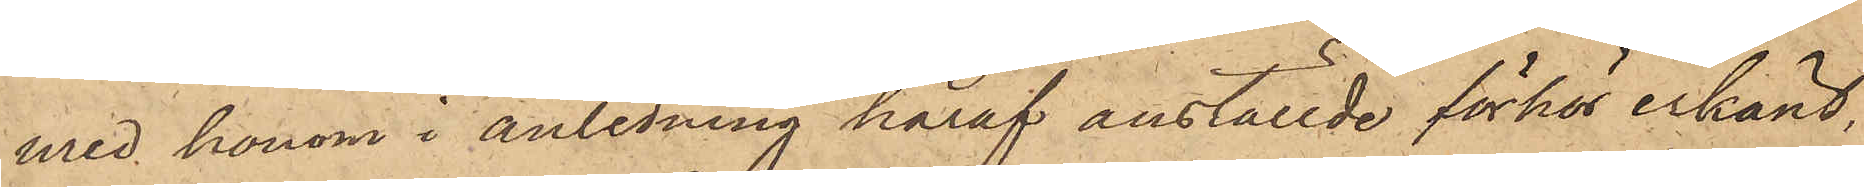med honom i anledning häraf anställde förhör erkänt,
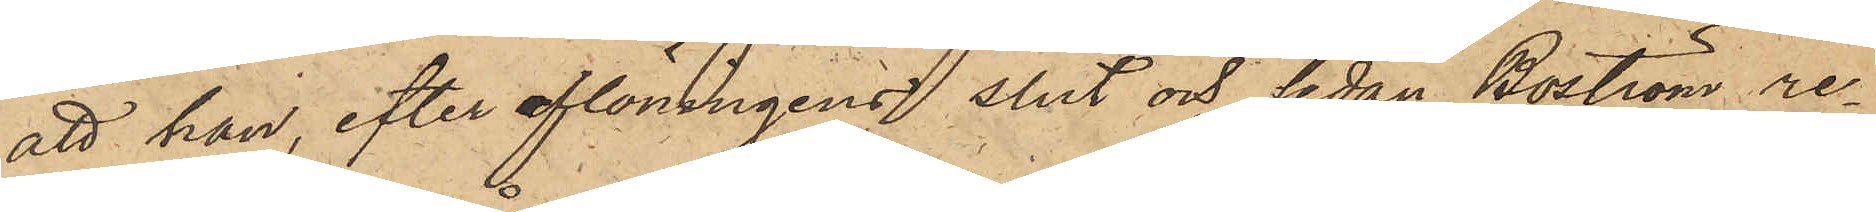att han, efter aflöningens slut och sedan Boström re¬
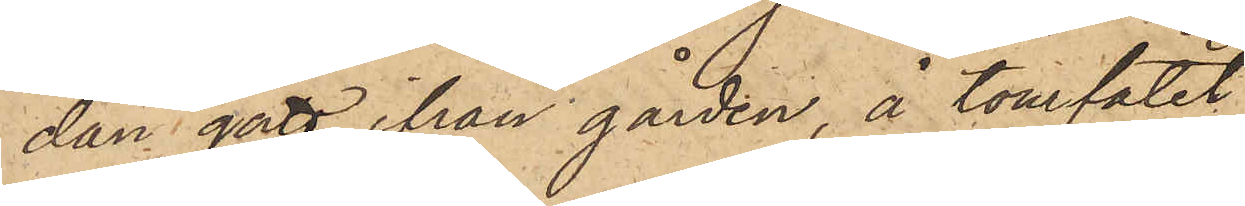dan gått ifrån gården, å tomfatet
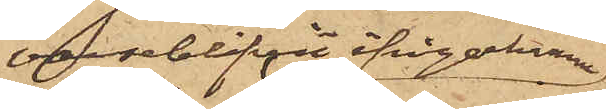varseblifvit ifrågakomne
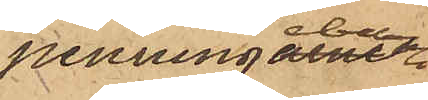penningebelopp
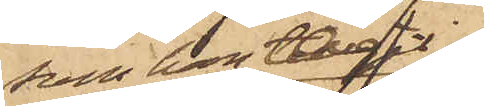som han tagit
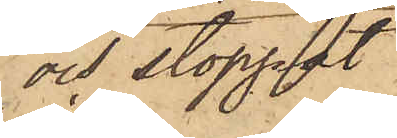och stoppat
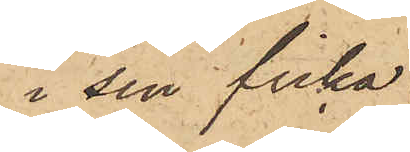i sin ficka;
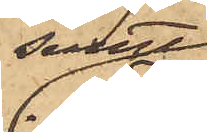samt
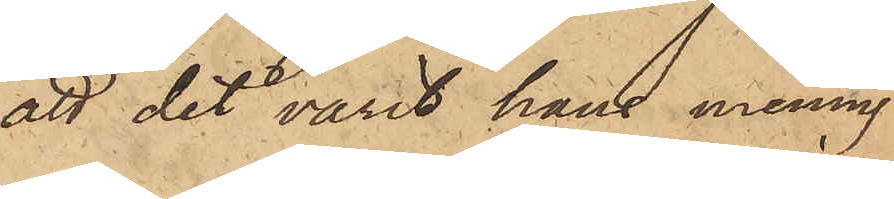att det varit hans mening
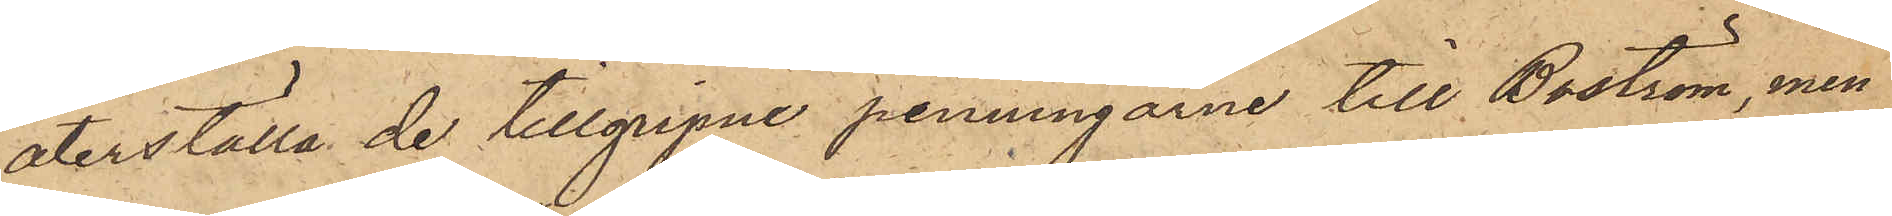återställa de tillgripne penningarne till Boström, men
